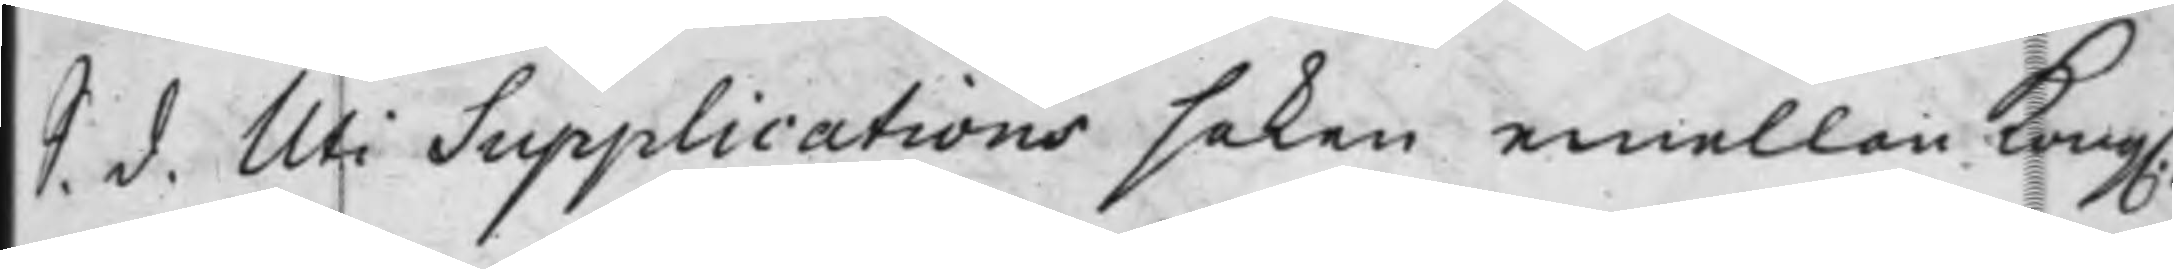S. d. Uti Supplications saken emellan Kong.
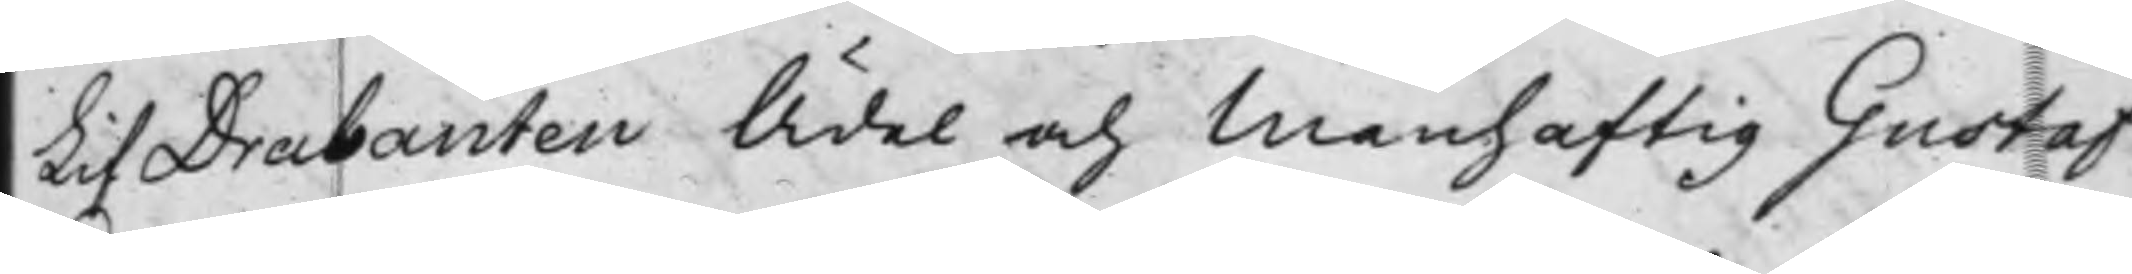LifDrabanten Ädel och Manhaftig Gustaf
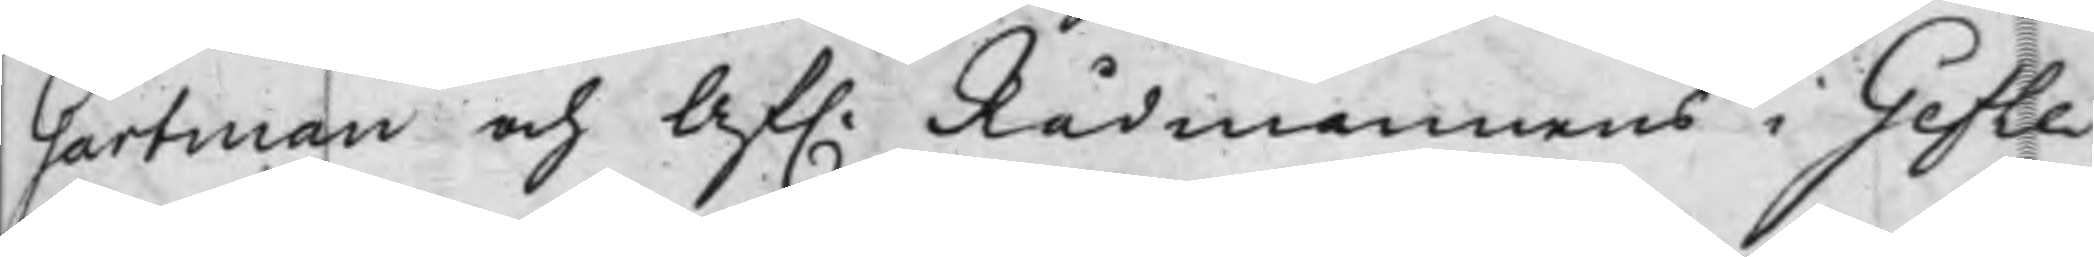Gartman och Af. Rådmannens i Gefle 
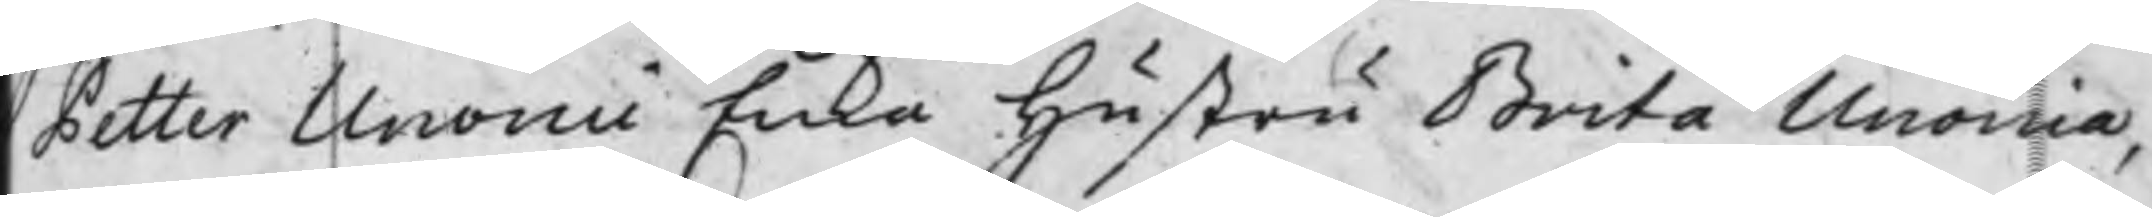Petter Unonii Enka hustru Brita Unonia,
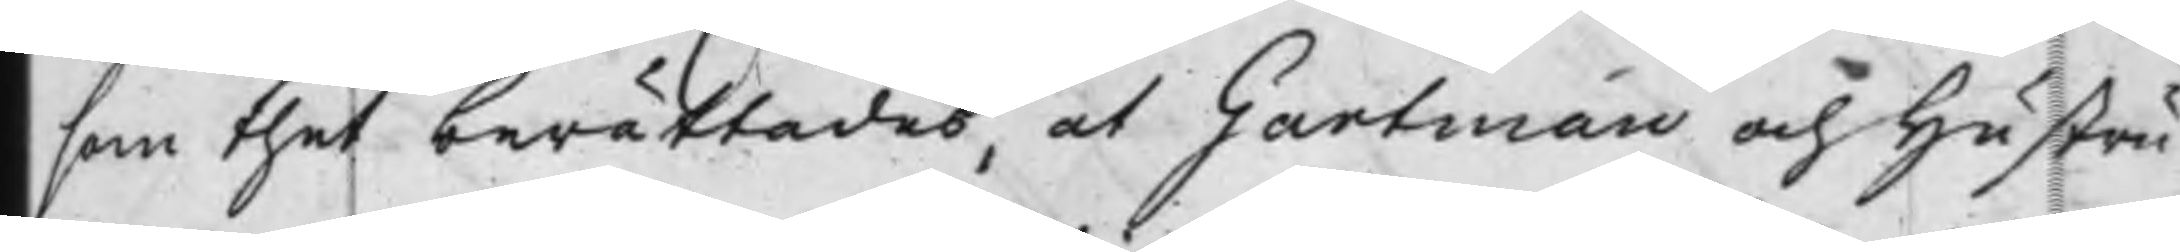som thet berättades, at Gartman och hustru
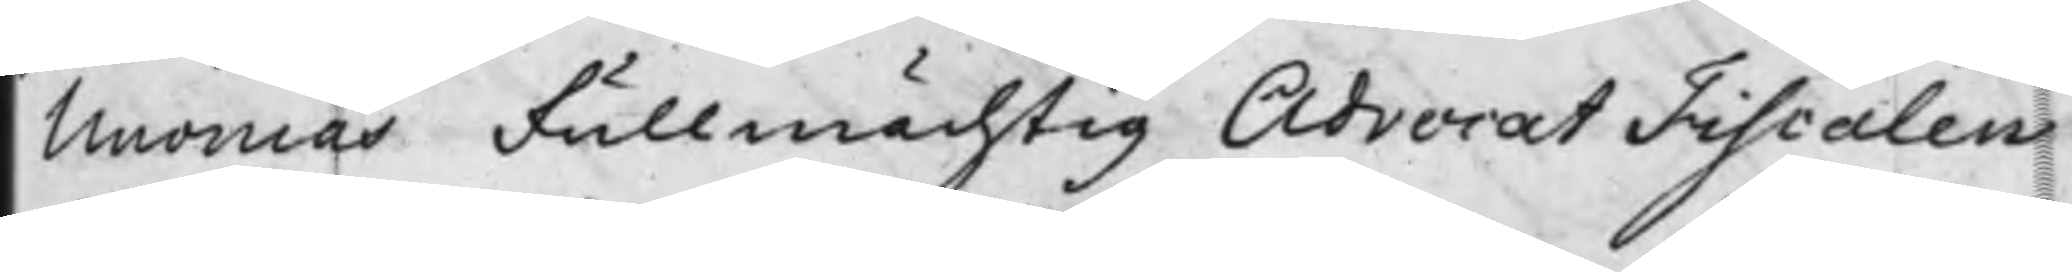Unonias Fullmächtig Advocat Fiscalen
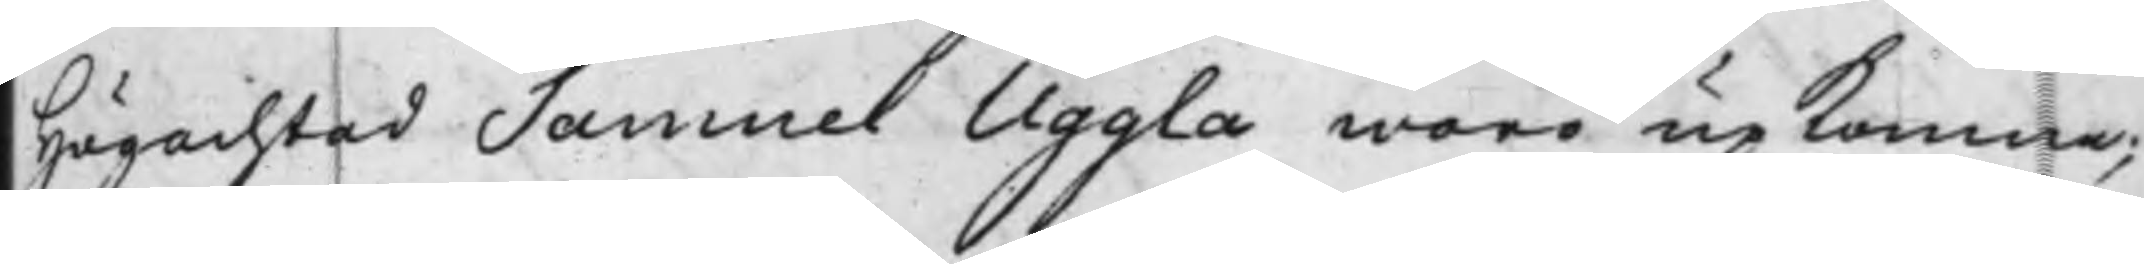Högachtad Samuel Uggla woro upkomna;
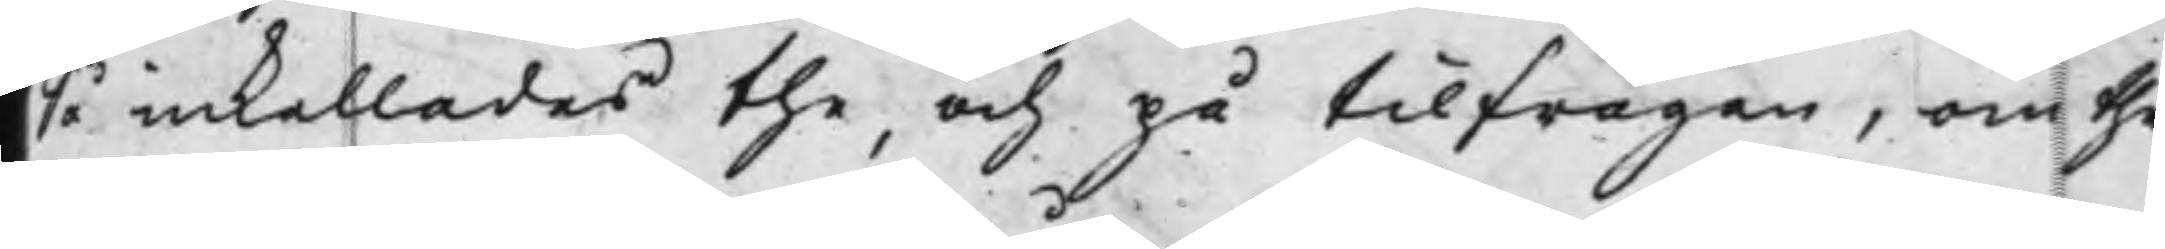Så inkallades the, och på tilfrågan, om the
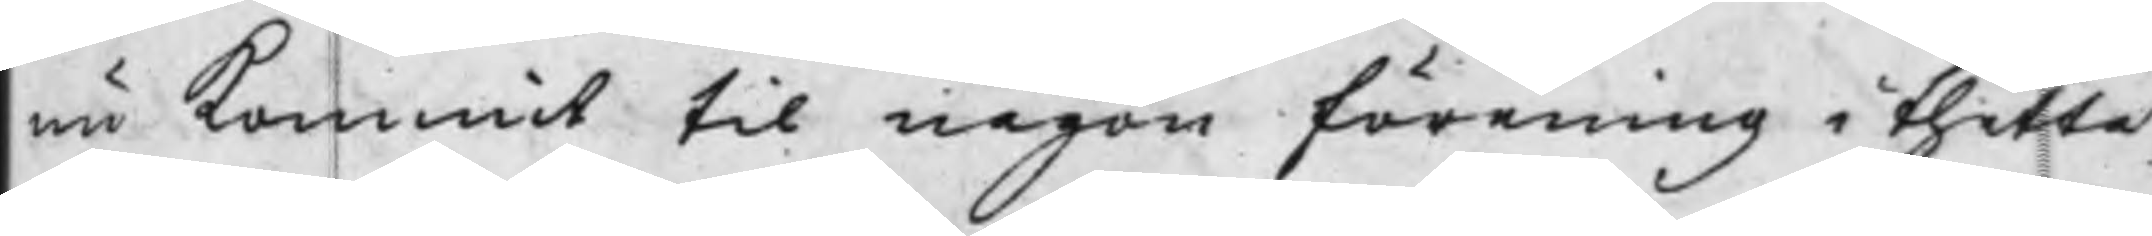nu kommit til någon förening i thetta
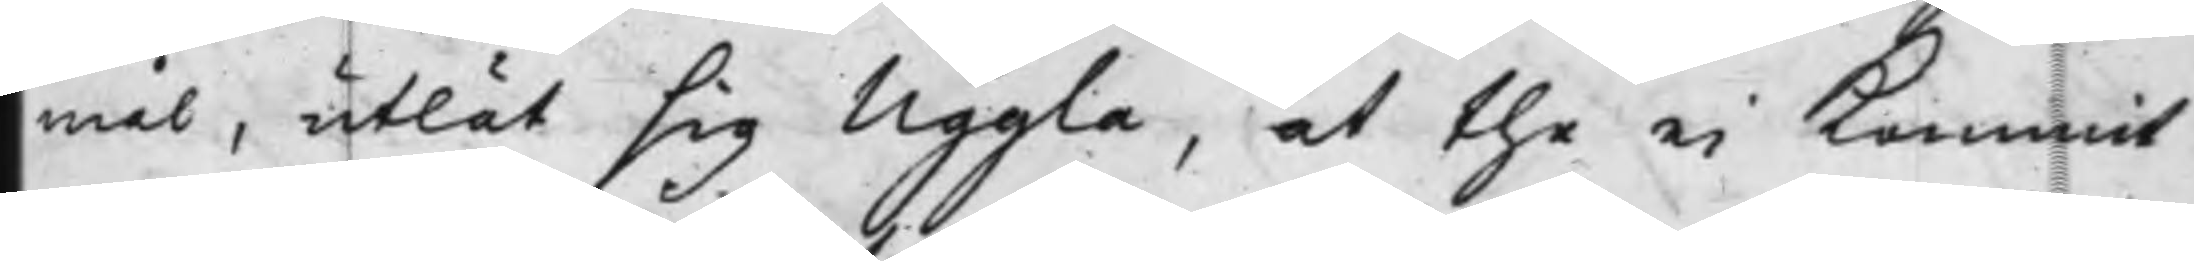mål, utlät sig Uggla, at the ei kommit
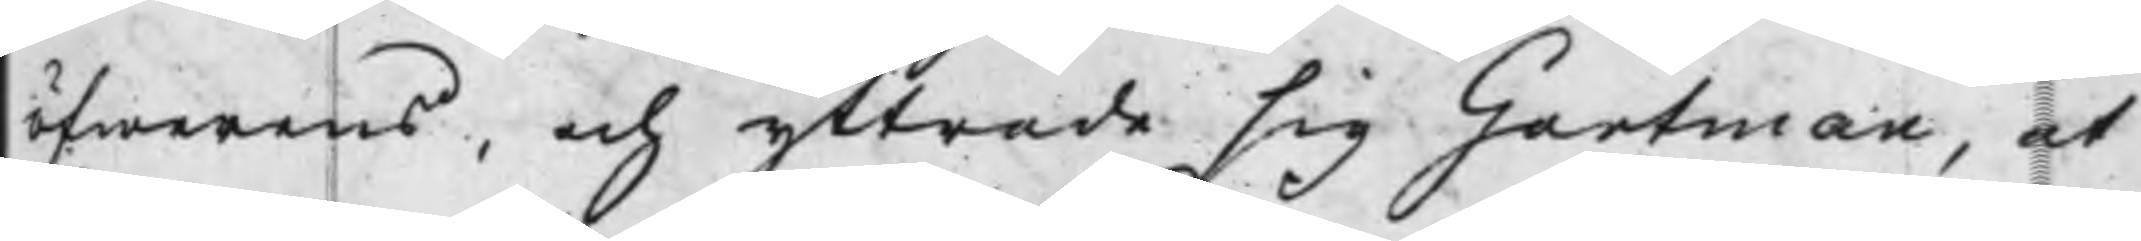öfwerens, och yttrade sig Gartman, at
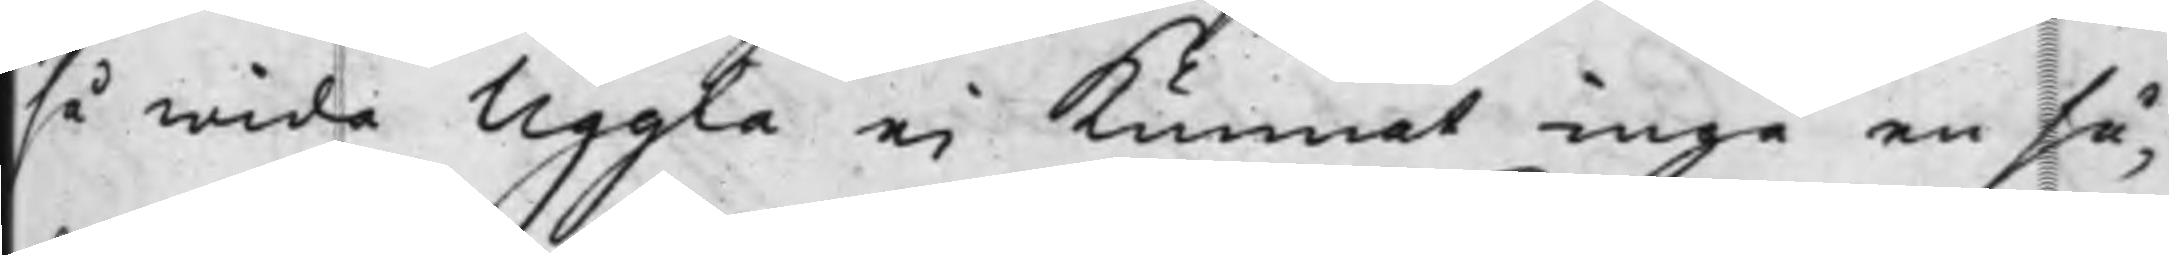så wida Uggla ej kunnat ingå en så¬
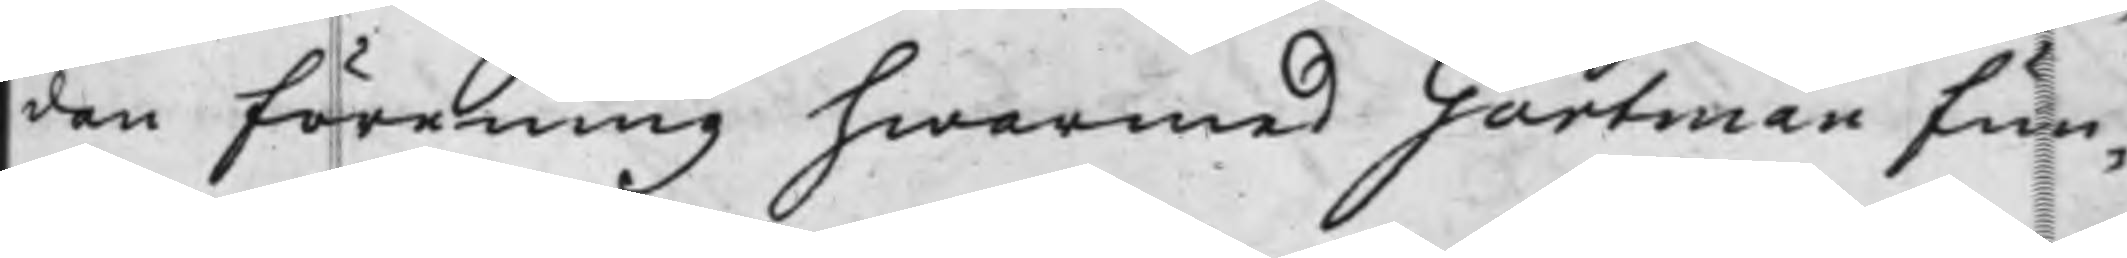dan förening hwarmed Gartman fun¬
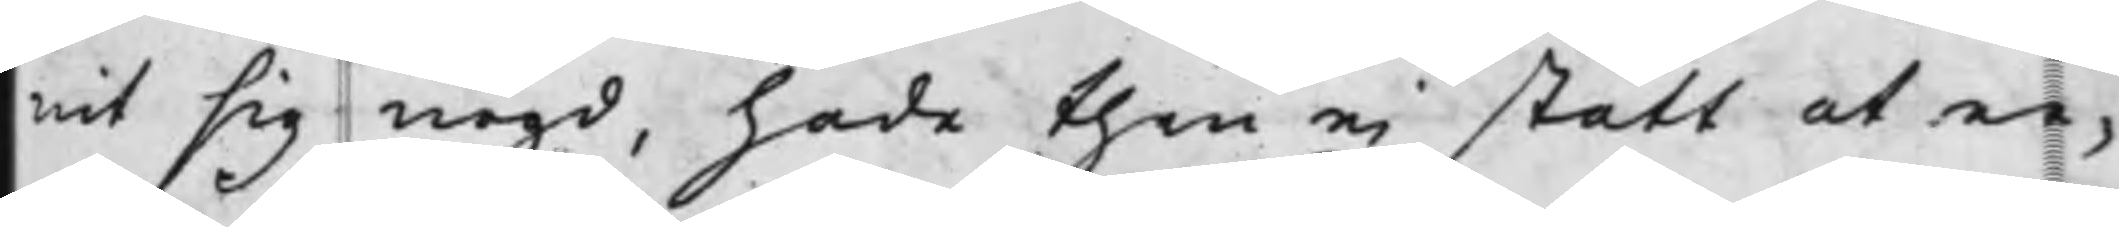nit sig nögd, hade then ej stått at er¬
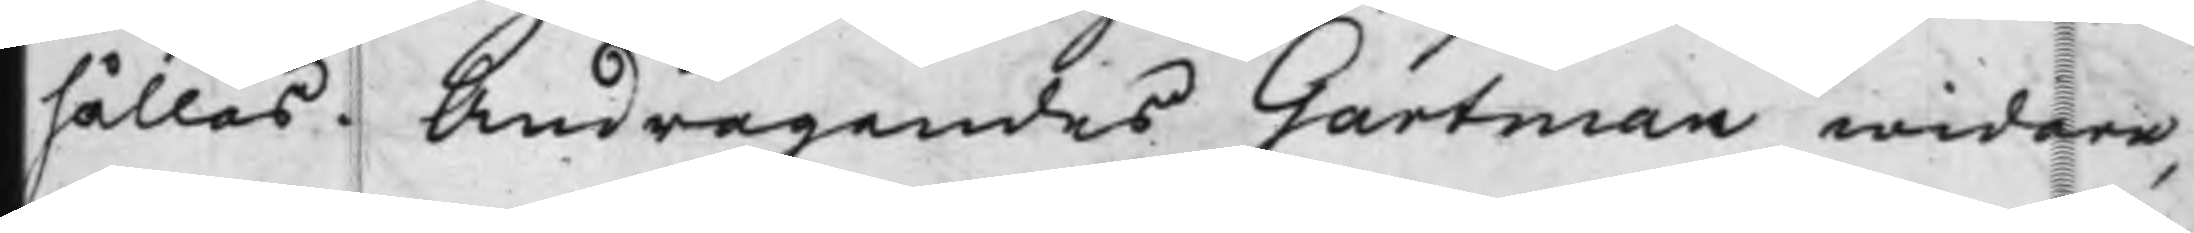hållas. Andragandes Gartman widare,
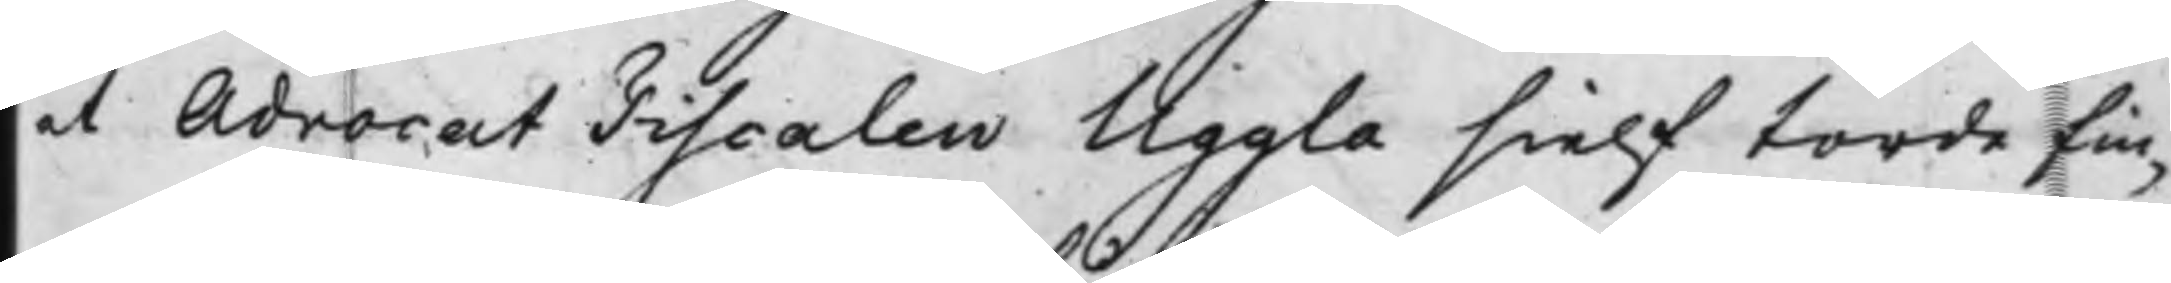at AdvocatFiscalen Uggla sielf torde fin¬
